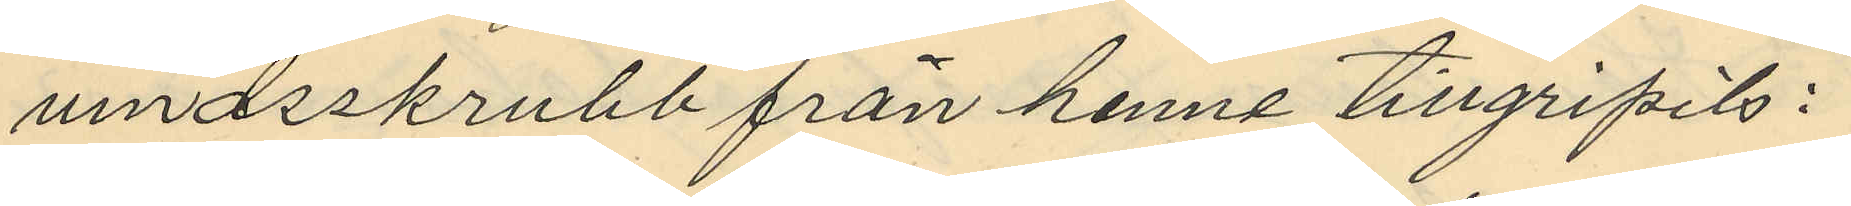vindsskrubb från henne tillgripits:
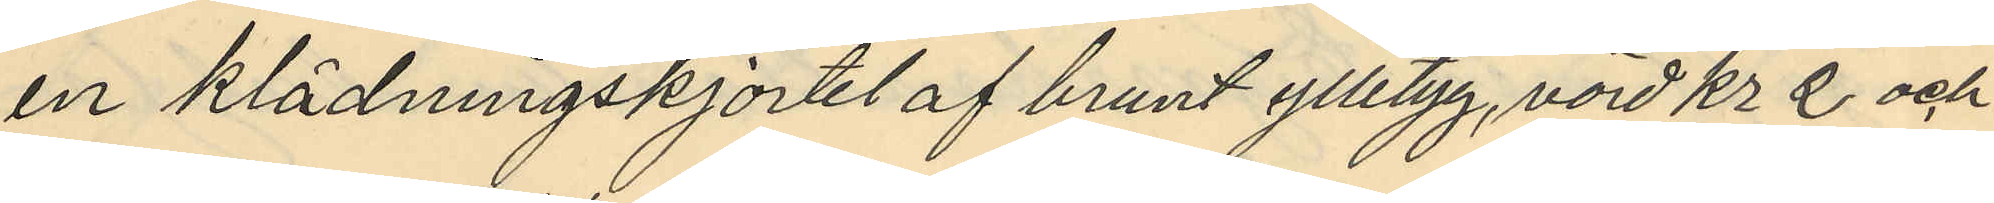en klädningskjortel af brunt ylletyg, värd Kr 2 och
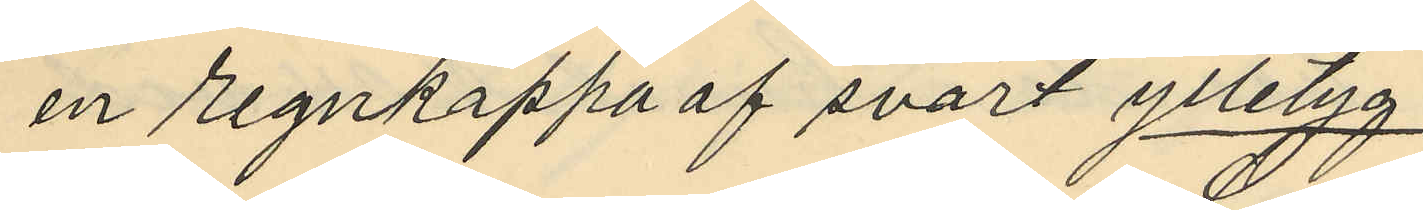en regnkappa af svart ylletyg
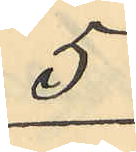5
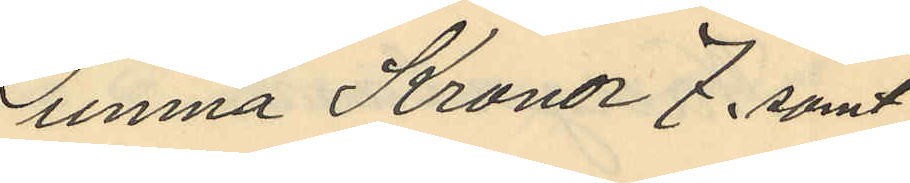Summa Kronor 7, samt
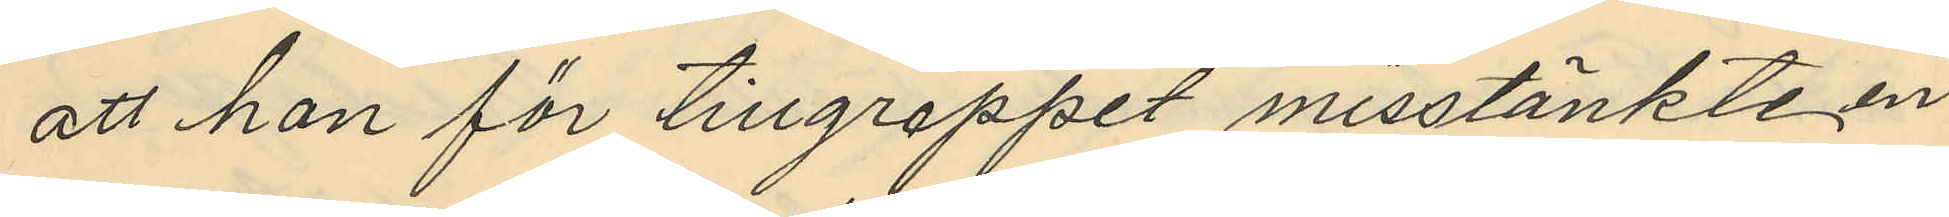att hon för tillgreppet misstänkte en
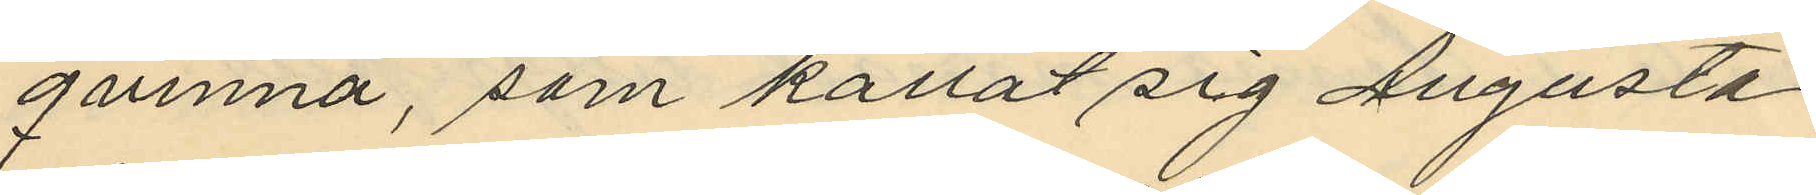qvinna, som kallat sig Augusta
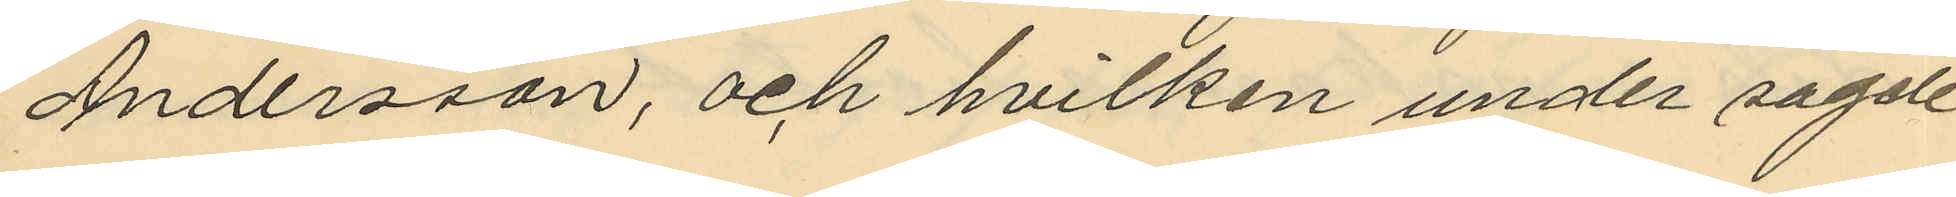Andersson, och hvilken under sagde
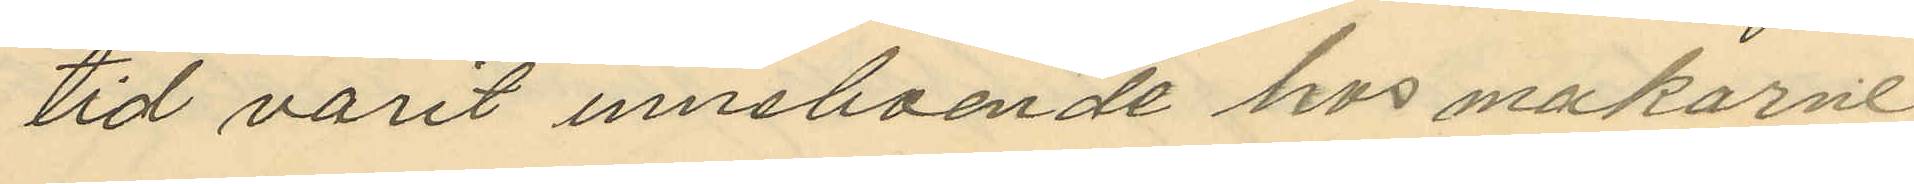tid varit inneboende hos makarne
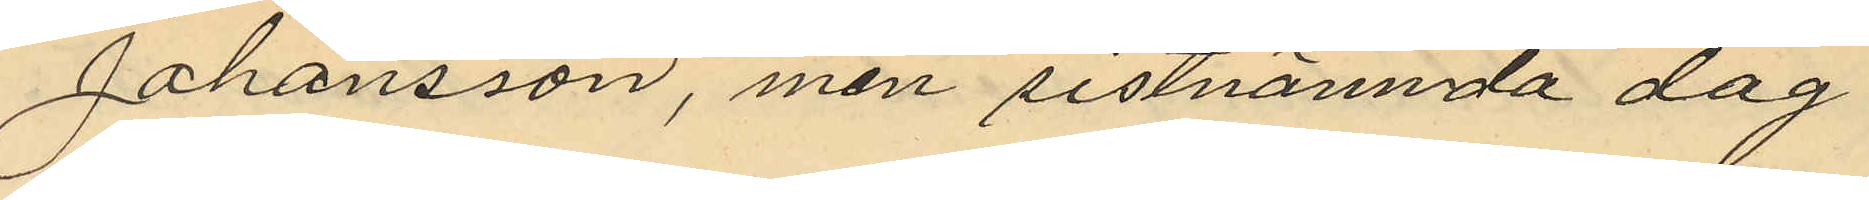Johansson, men sistnämnda dag
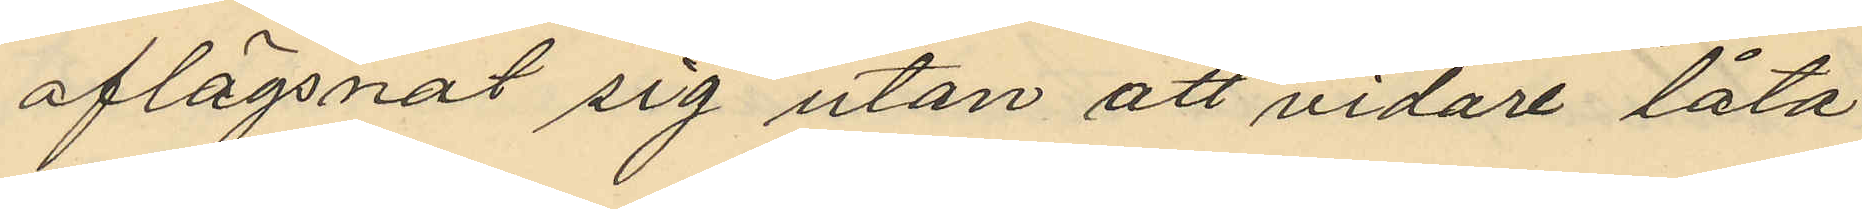aflägsnat sig utan att vidare låta
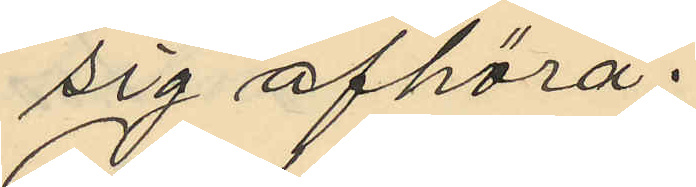sig afhöra.
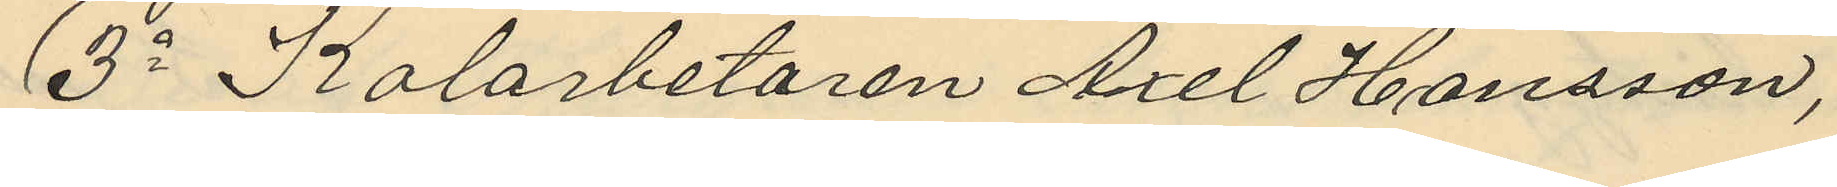3o Kolarbetaren Axel Hansson,
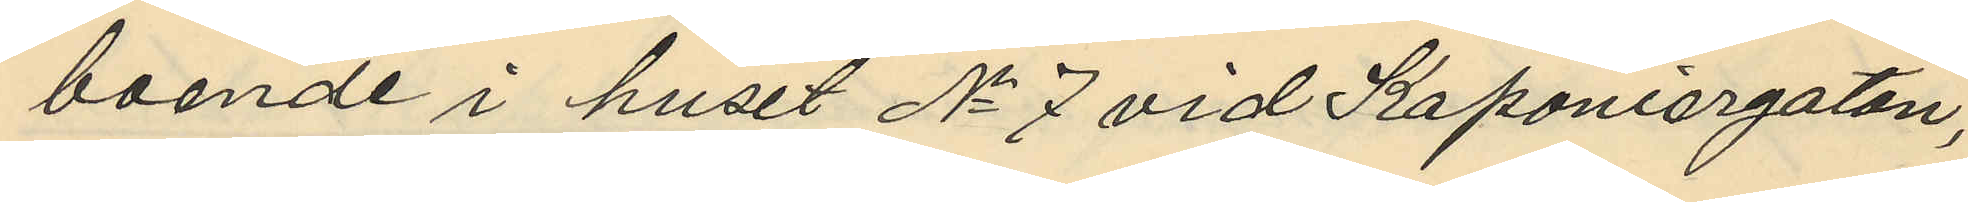boende i huset No 7 vid Kaponiergatan,
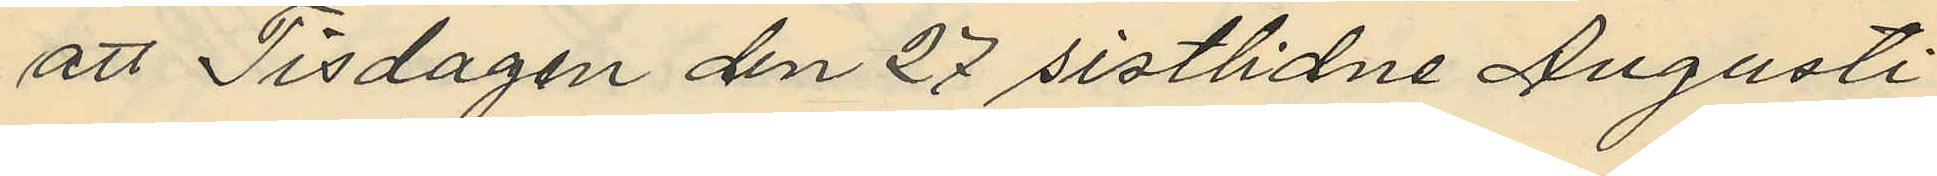att Tisdagen den 27 sistlidne Augusti
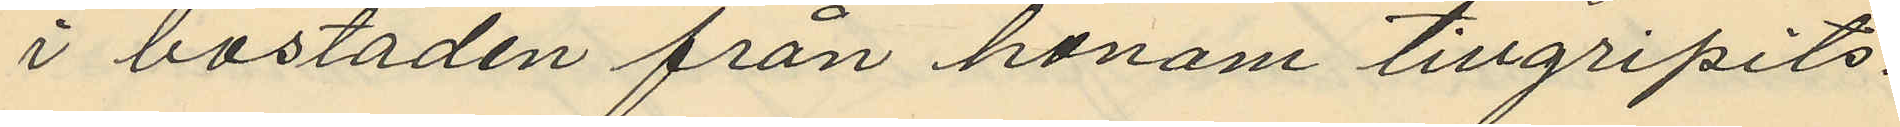i bostaden från honom tillgripits:
